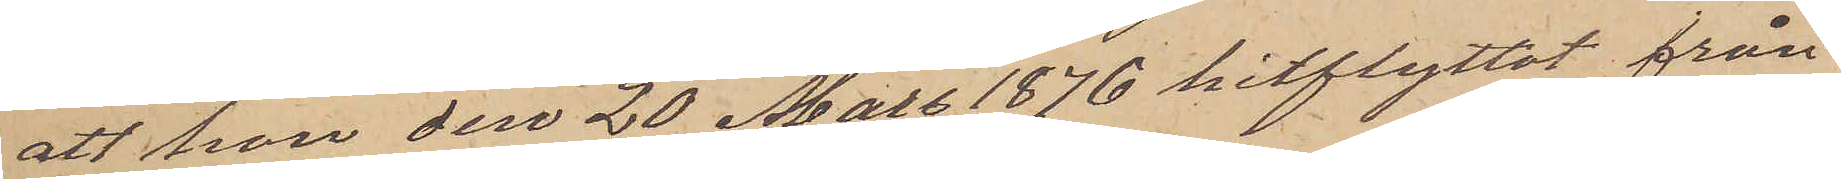att hon den 20 Mars 1876 hitflyttat från
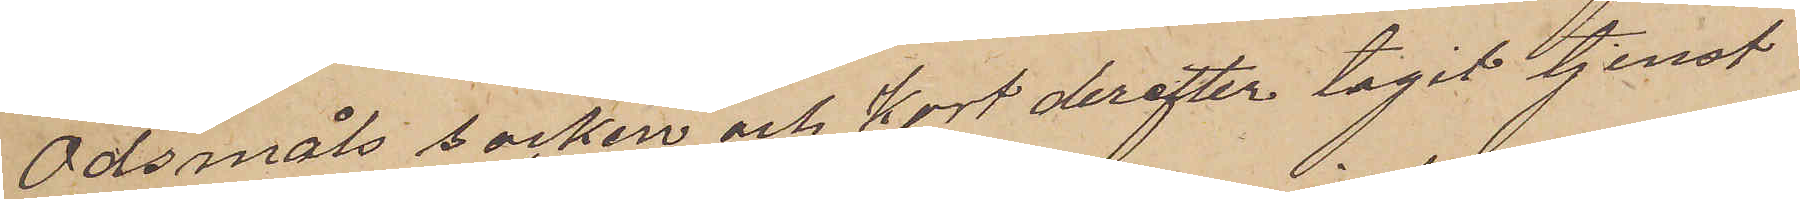Ödsmåls socken och kort derefter tagit tjenst
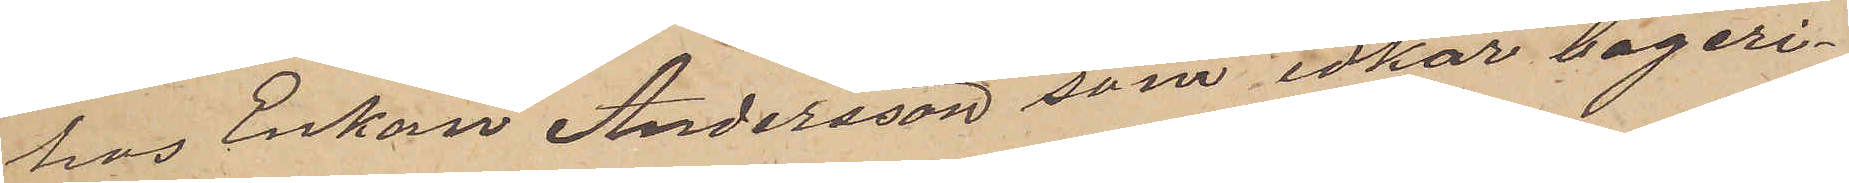hos Enkan Andersson som idkar bageri¬
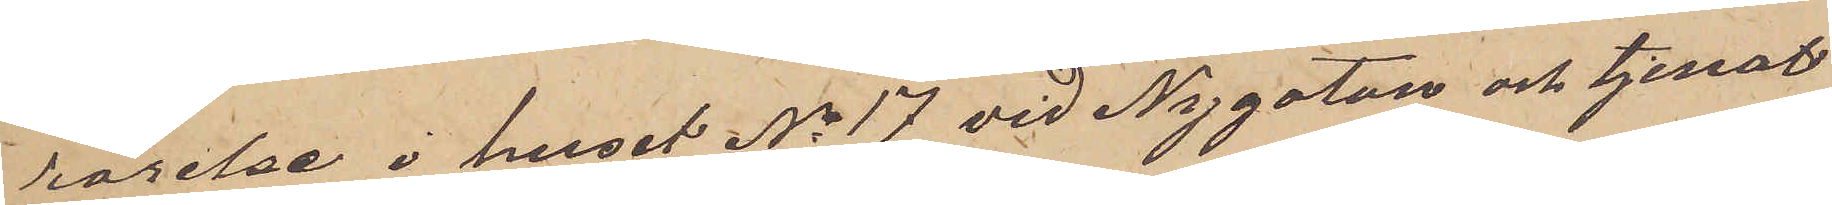rörelse i huset No 17 vid Nygatan och tjenat
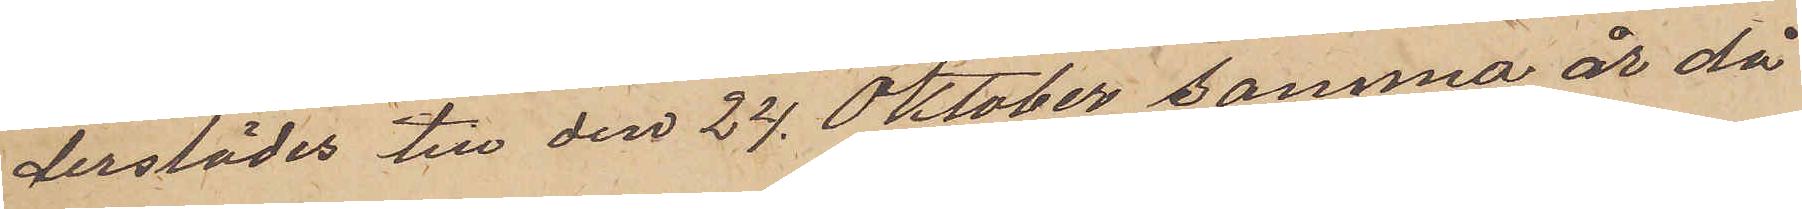derstädes till den 24 Oktober samma år då
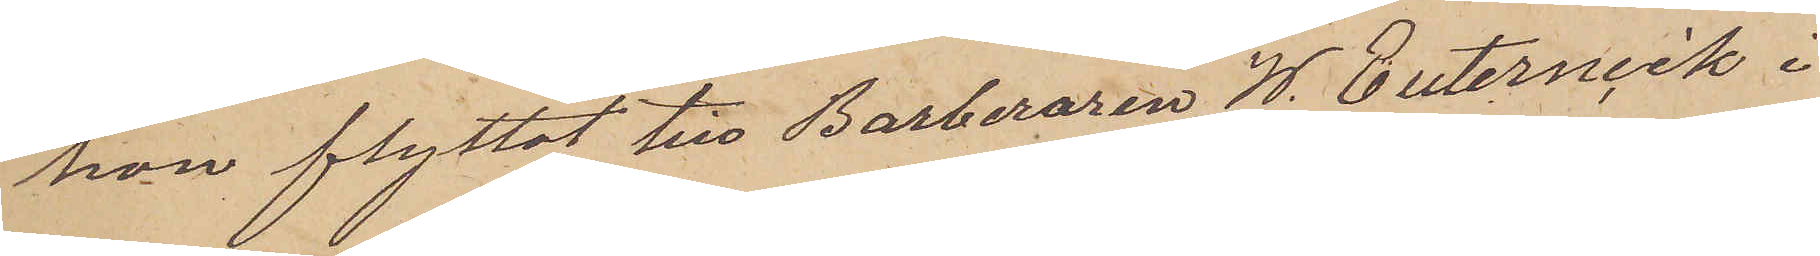hon flyttat till Barberaren W. Euternick i
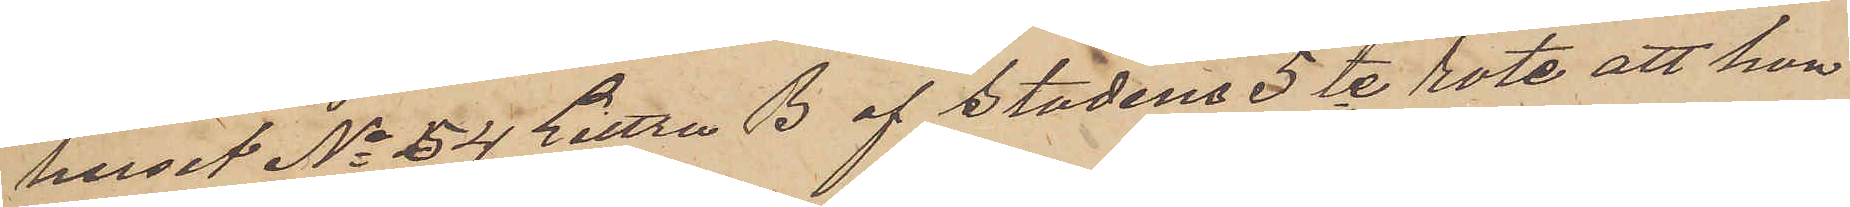huset No 24 Littra B af stadens 5te rote, att hon
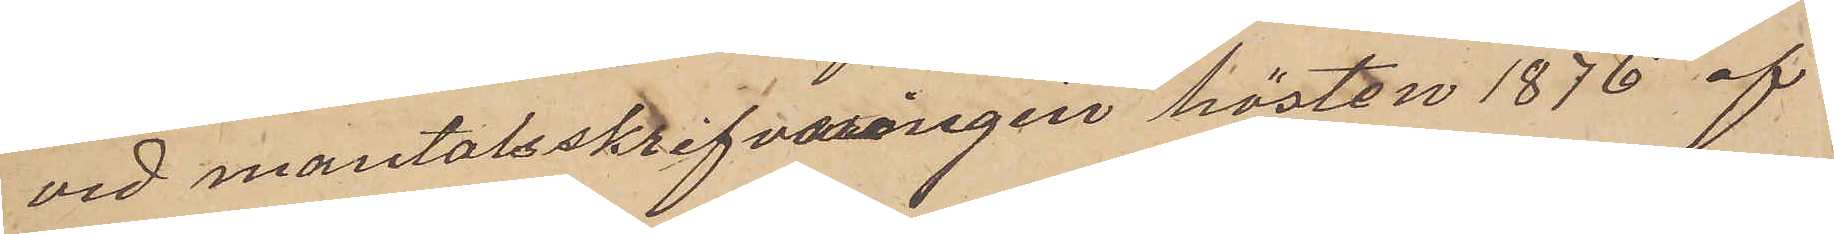vid mantalsskrifvnningen hösten 1876 af
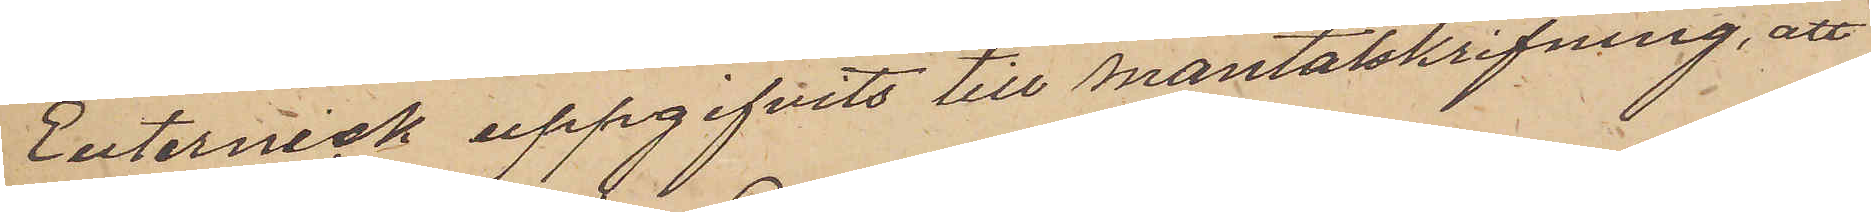Euternick uppgifvits till mantalskrifning, att
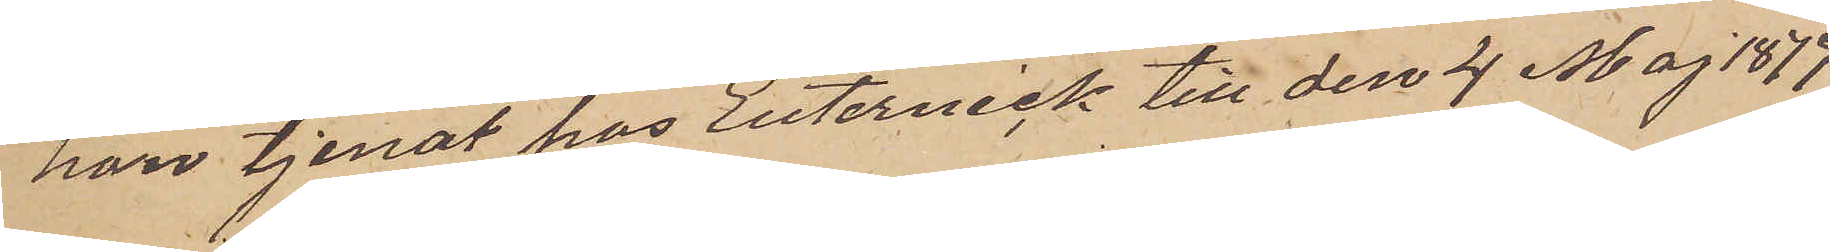hon tjenat hos Euternick till den 4 Maj 1877
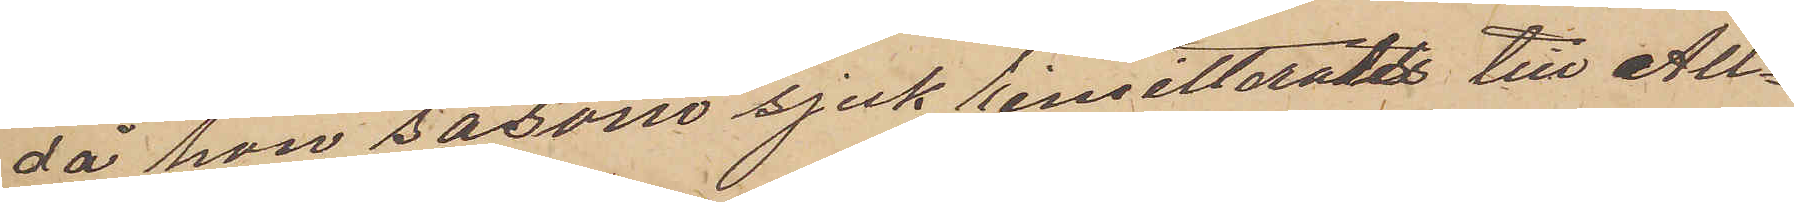då hon såsom sjuk rensitterades till All¬
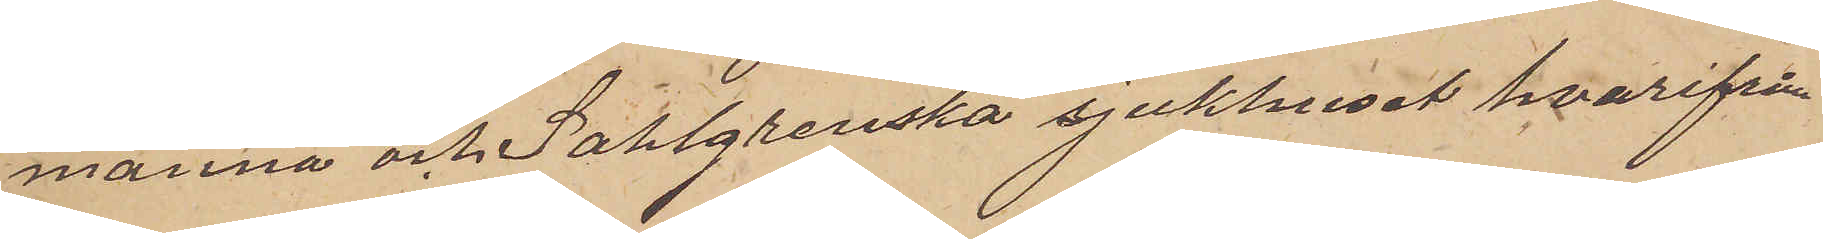männa och Sahlgrenska sjukhuset hvarifrån
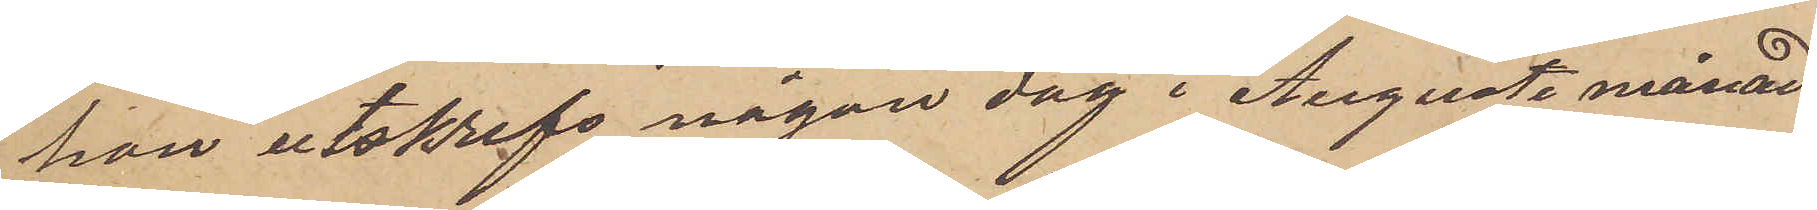hon utskrefs någon dag i Augusti månad
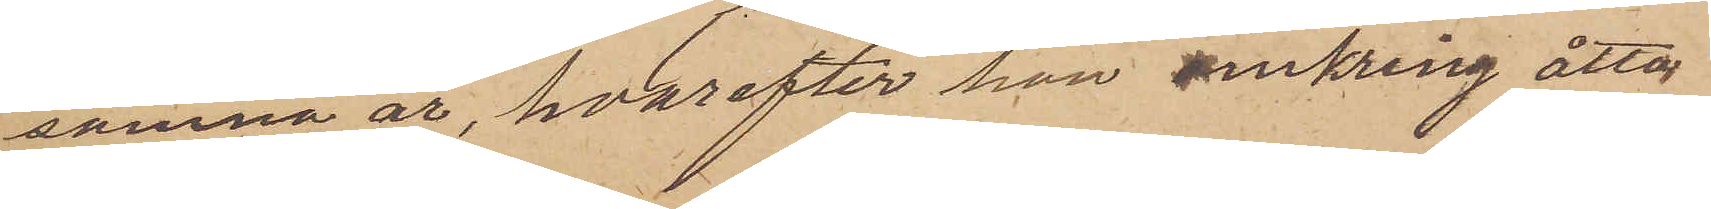samma år, hvarefter hon omkring åtta
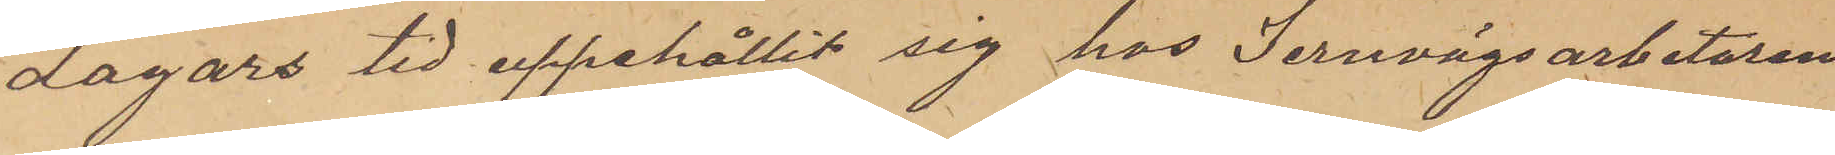dagars tid uppehållit sig hos Jernvägsarbetaren
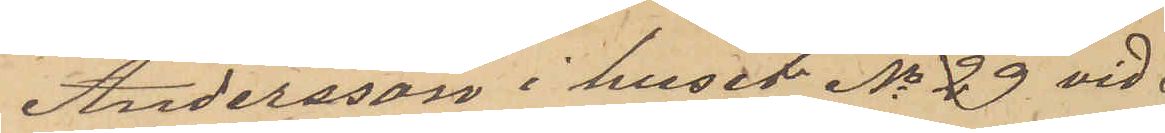Andersson i huset No 29 vid
